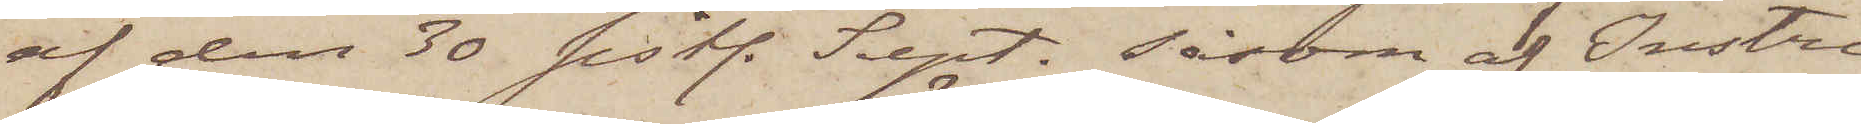af den 30 sistl. Sept. såsom af Instru¬
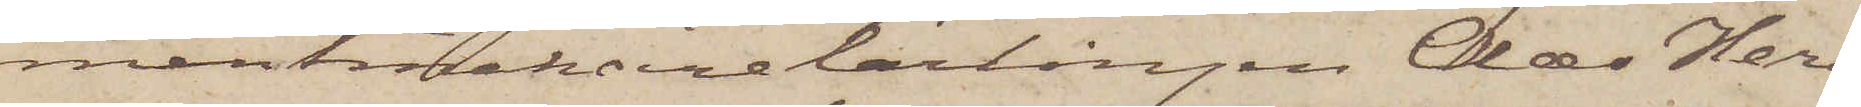mentmakarelärlingen Claes Heri¬
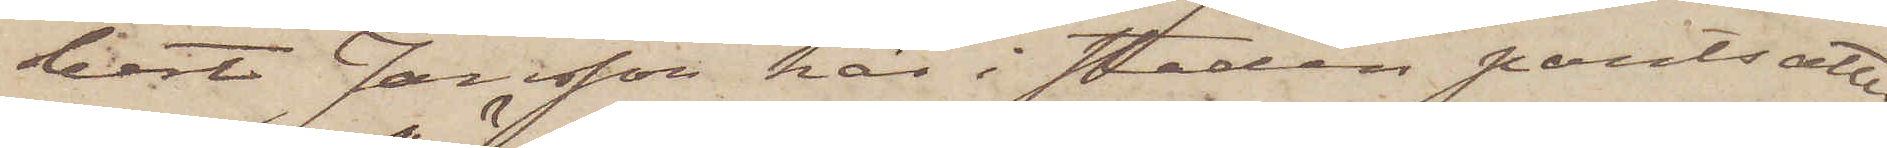bert Jansson här i staden pantsattes.
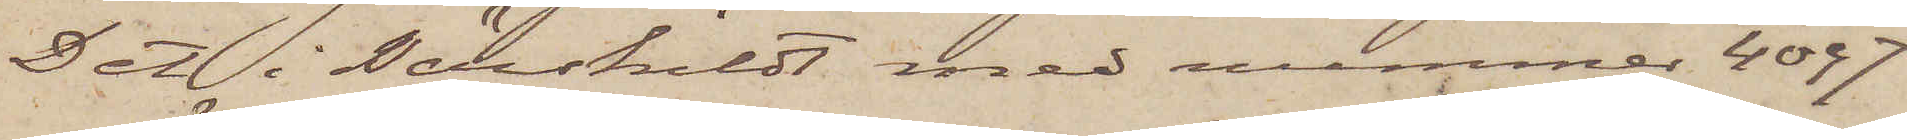Det i särskildt med nummer 4097
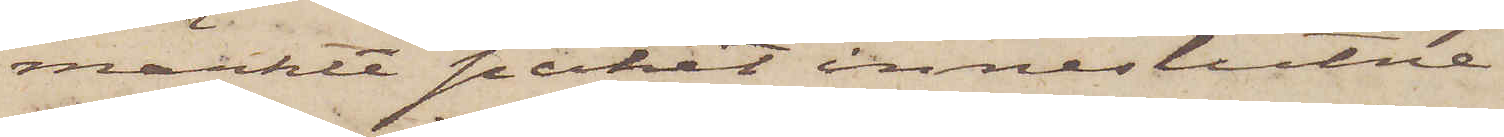märkte paket inneslutne
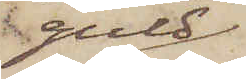guld¬
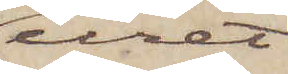uret
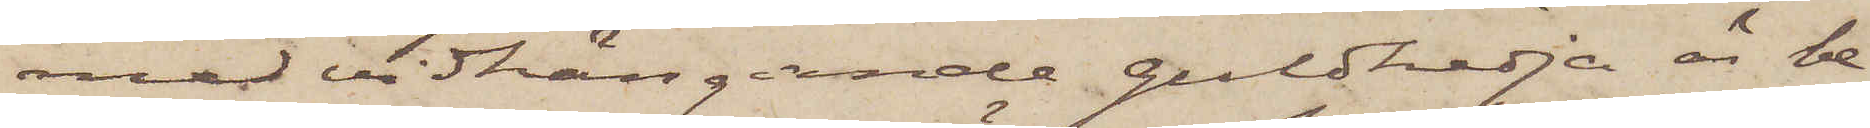med vidhängande guldkedja är be¬
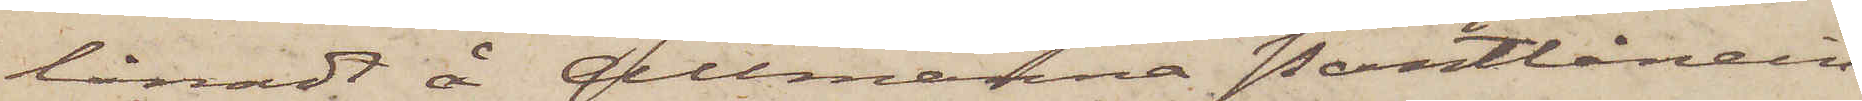lånadt å Allmänna Pantlånein¬
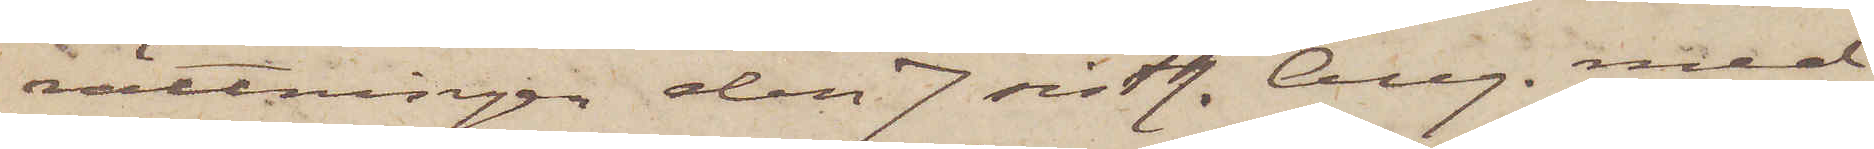rättningen den 7 sistl. Aug. med
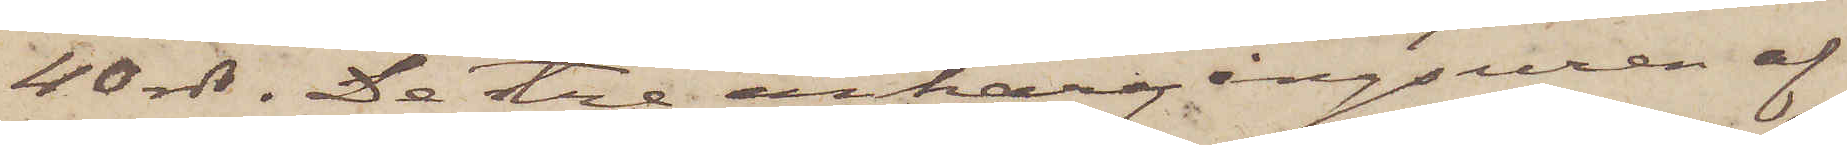40 rdr. De tre ankargångsuren af
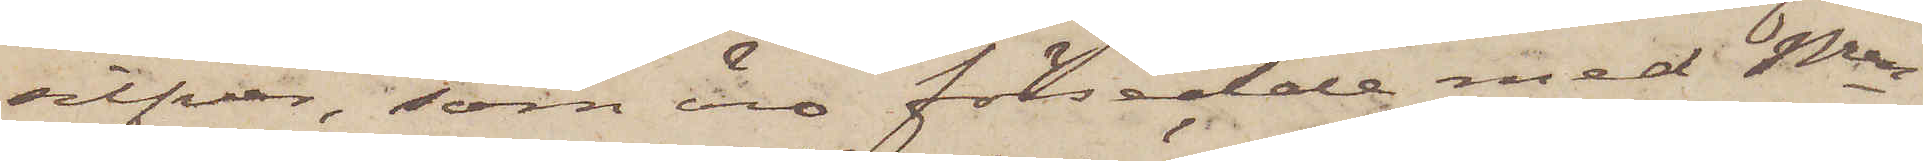silfver, som äro försedde med Nren
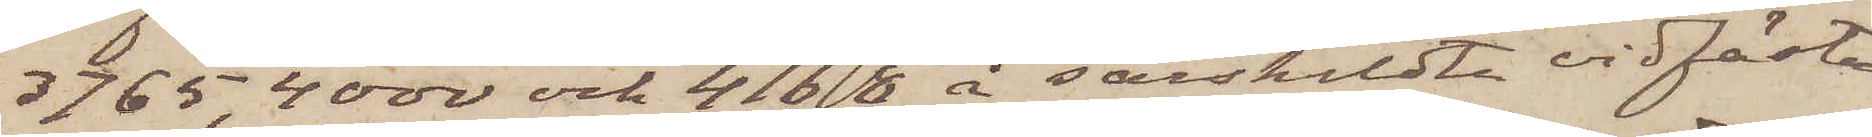3765, 4000 och 4168 å särskildta vidfästa¬
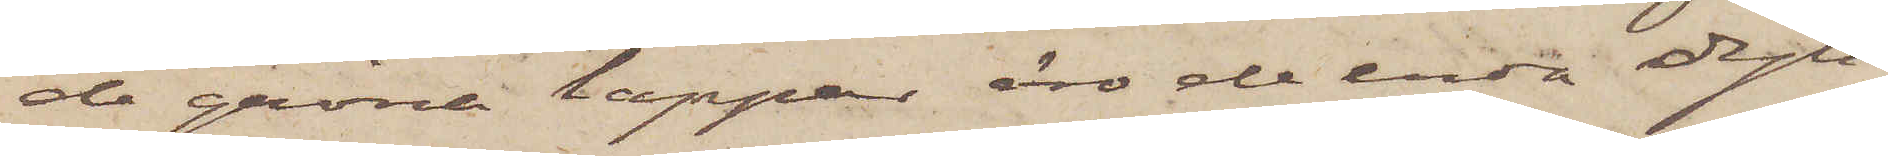de gröna lappar äro de enda dyli¬
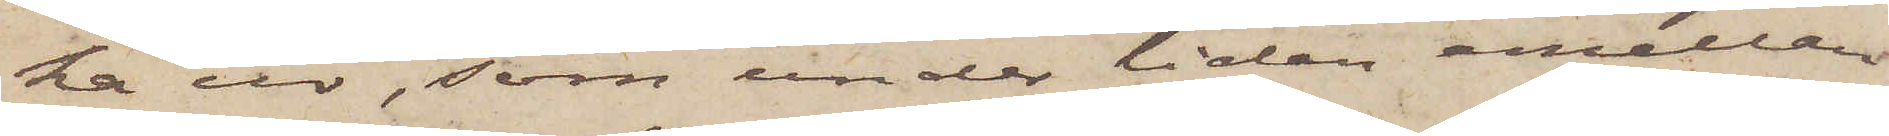ka ur, som under tiden emellan
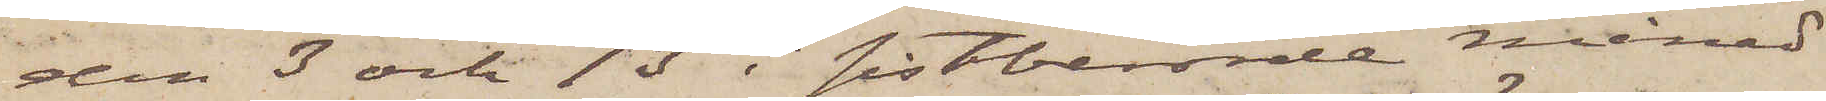den 3 och 13 i sistberörde månad
